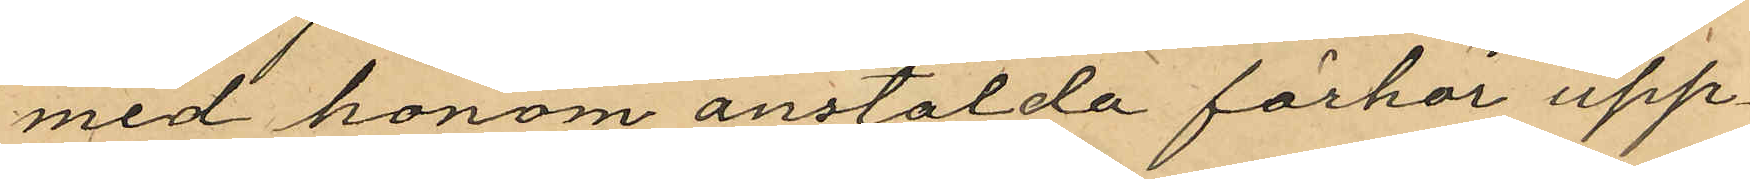med honom anstälda förhör upp¬
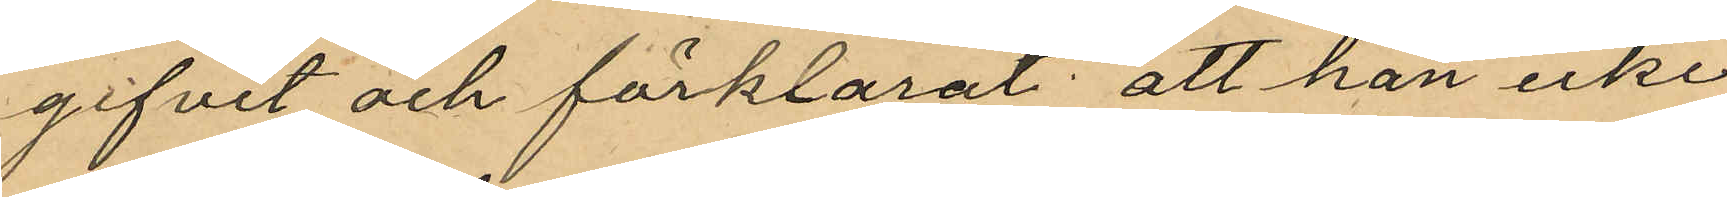gifvit och förklarat att han icke
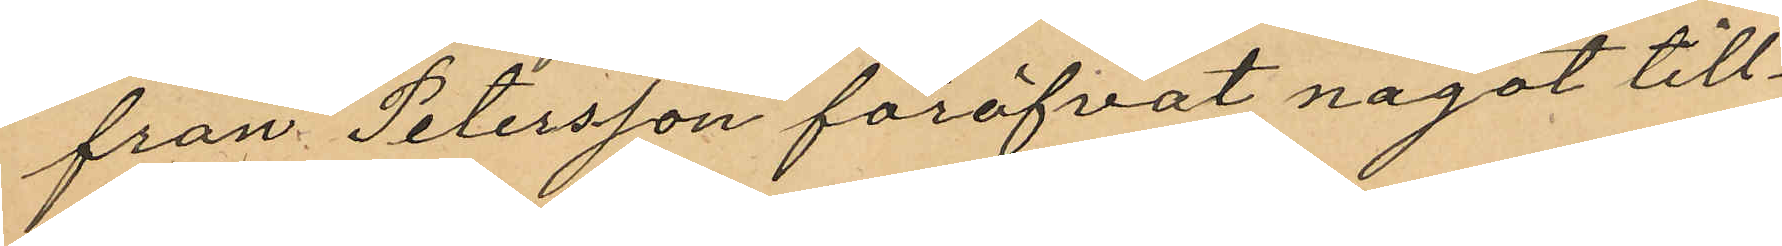från Petersson föröfvat något till¬
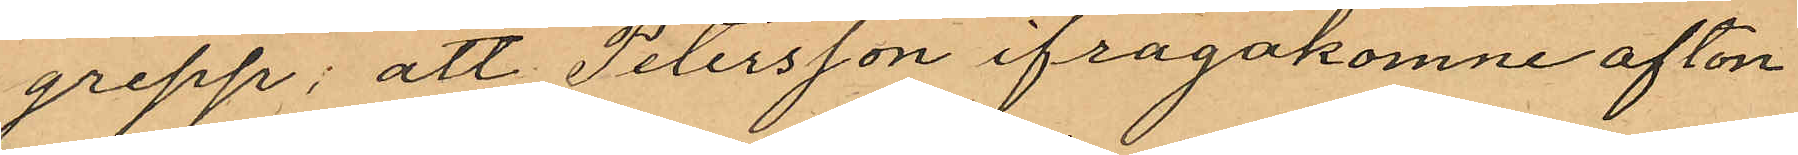grepp; att Petersson ifrågakomne afton
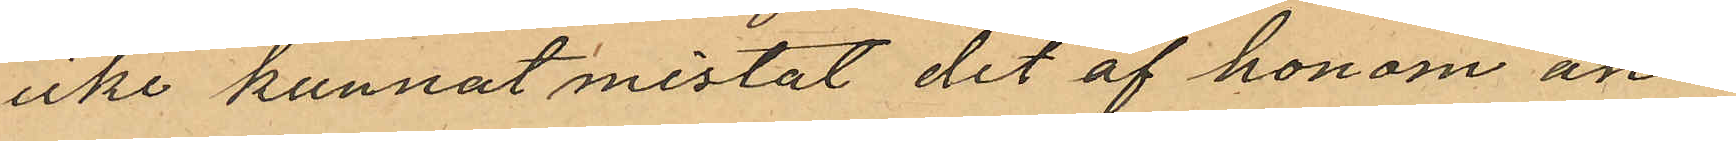icke kunnat mistat det af honom an¬
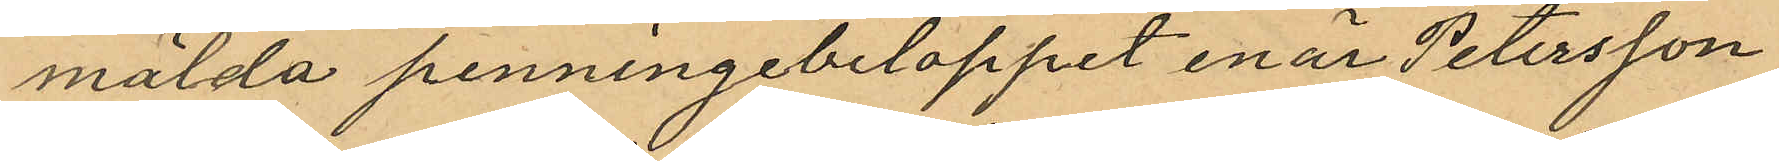mälda penningebeloppet enär Petersson
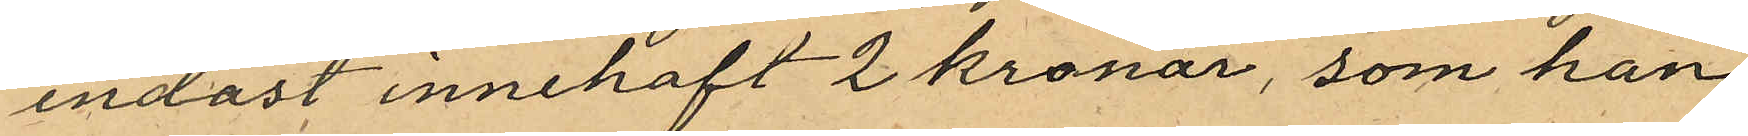endast innehaft 2 kronor, som han
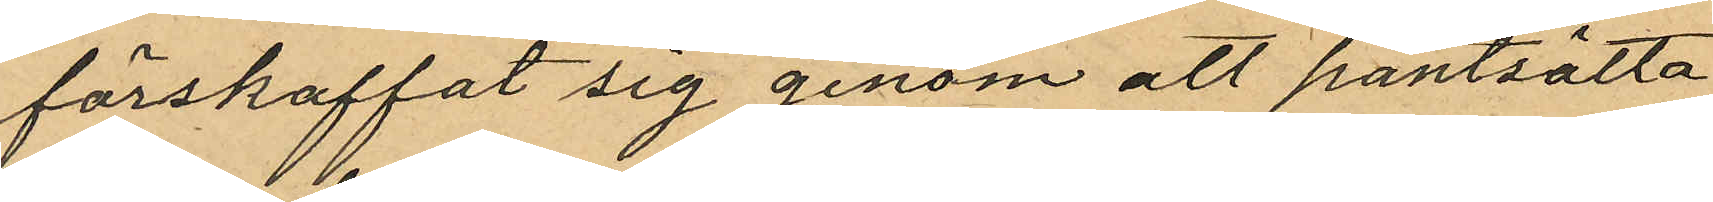förskaffat sig genom att pantsätta
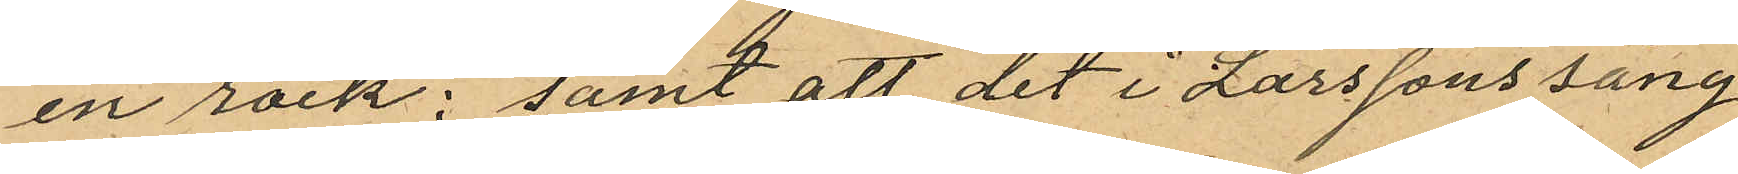en rock; samt att det i Larssons säng
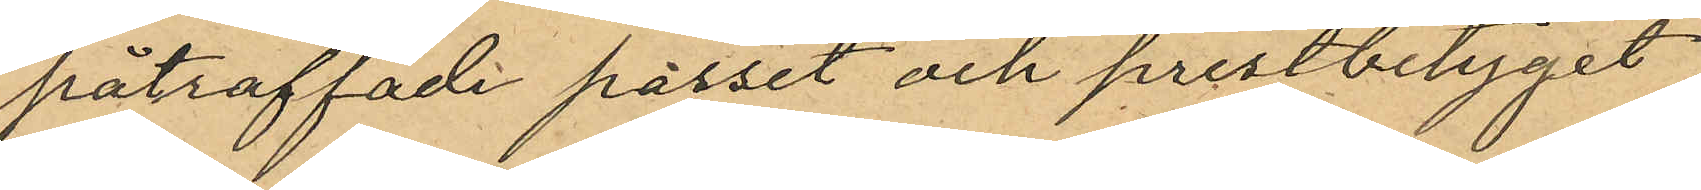påträffade passet och prestbetyget
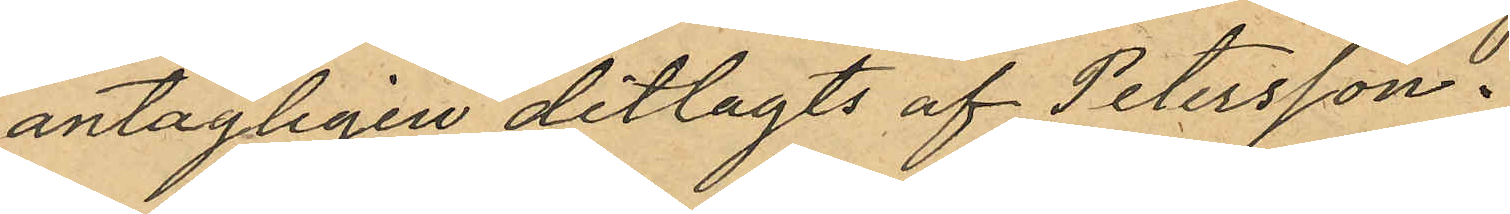antagligen ditlagts af Petersson.
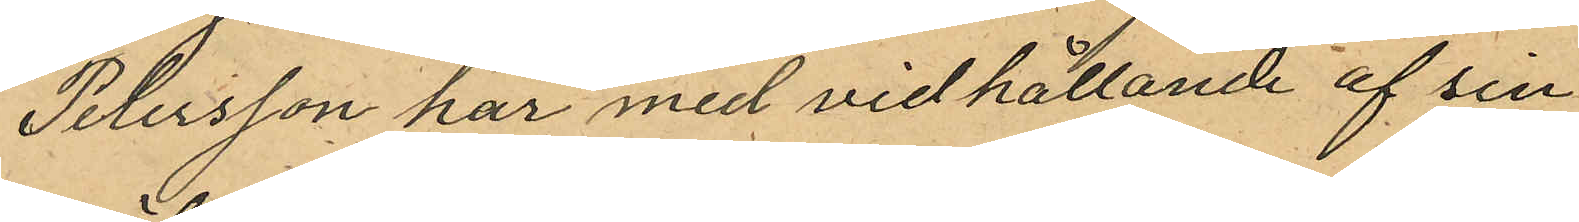Petersson har med vidhållande af sin
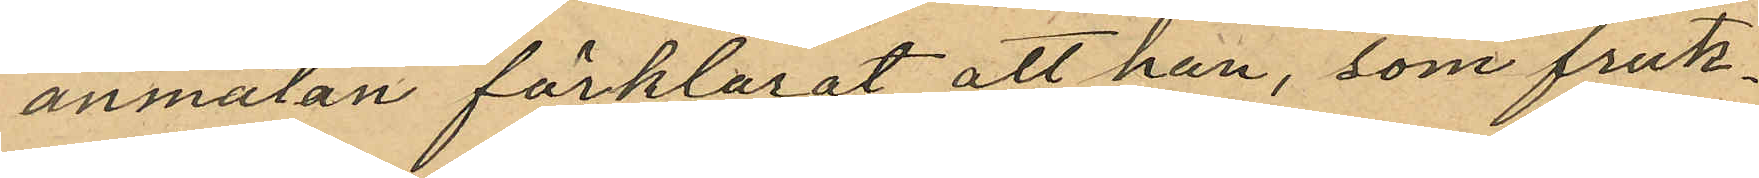anmälan förklarat, att han, som fruk¬
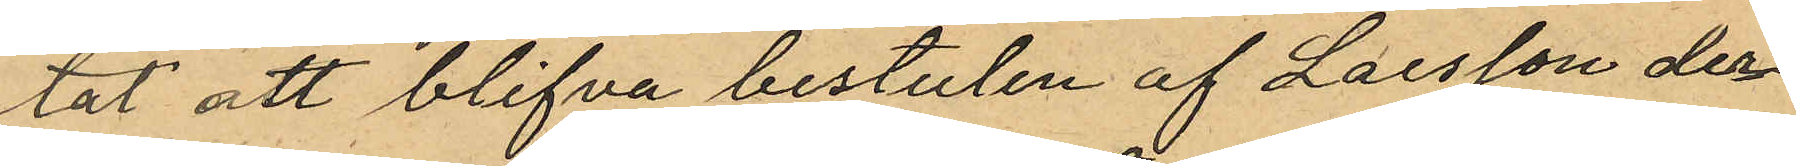tat att blifva bestulen af Larsson der¬
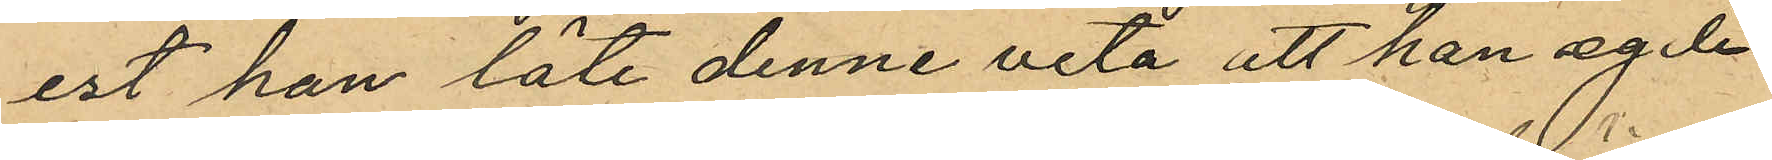est han låti denne veta att han egde
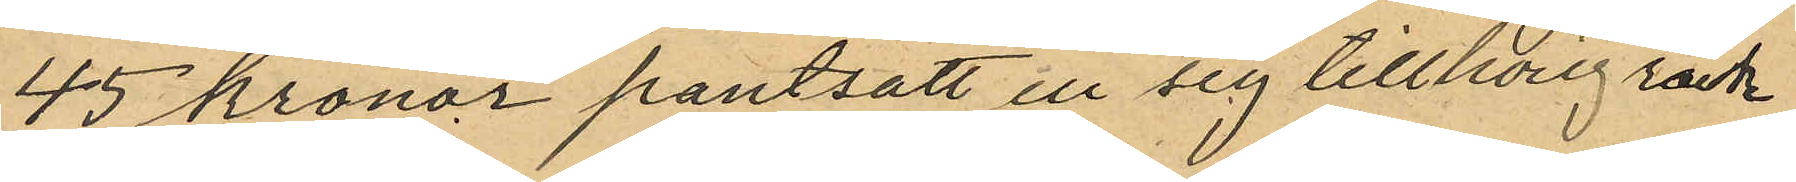45 kronor pantsatt en sig tillhörig rock
